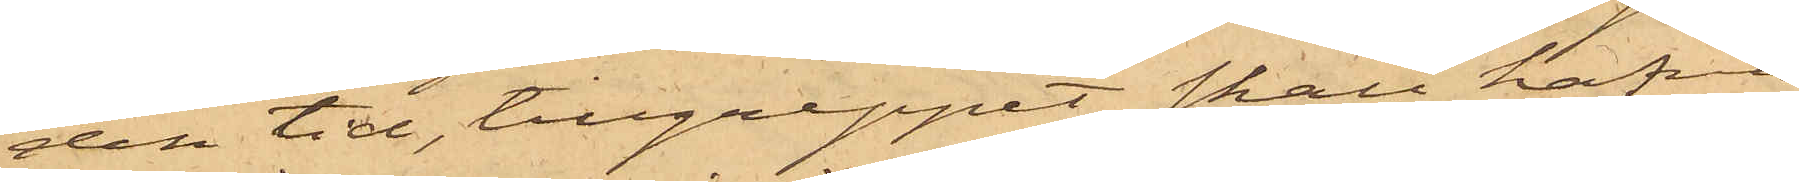den tid, tillgreppet skall hafva
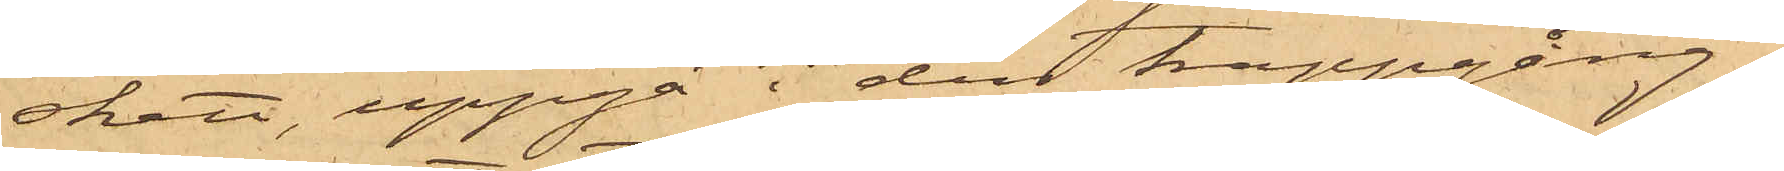skett, uppgå i den trappgång,
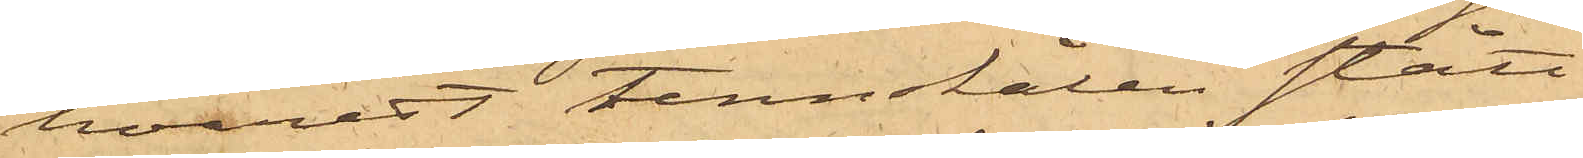hvarest tennskålen stått.
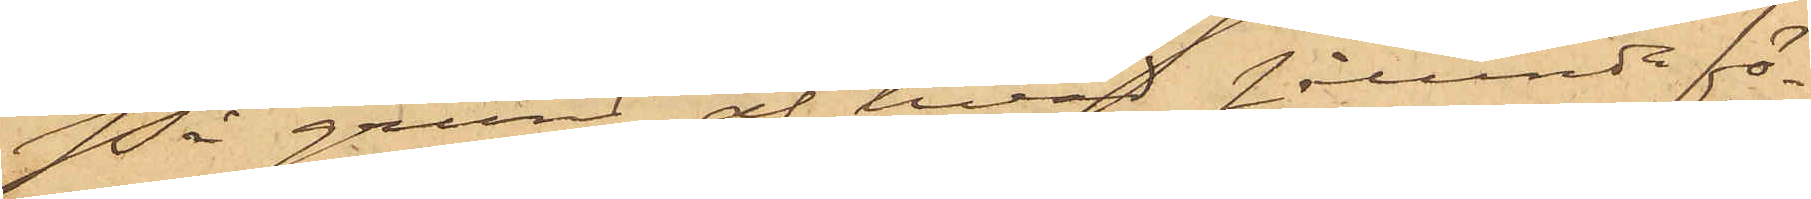På grund af hvad sålunda fö¬
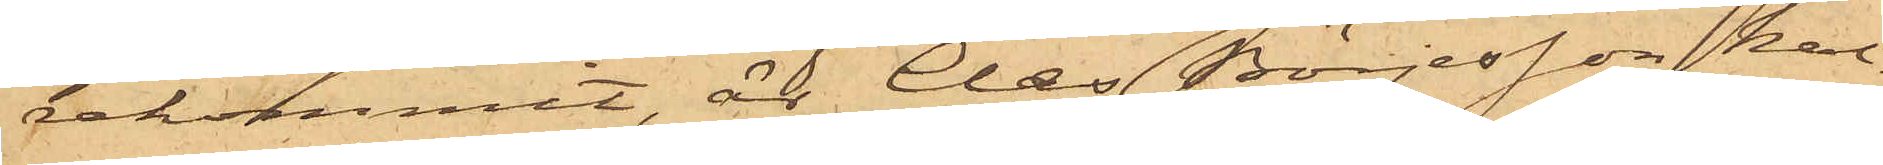rekommit, är Claes Börjesson kal¬
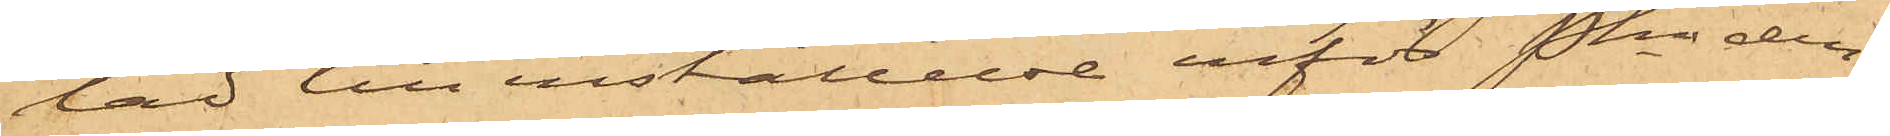lad till inställelse inför Pkn den¬
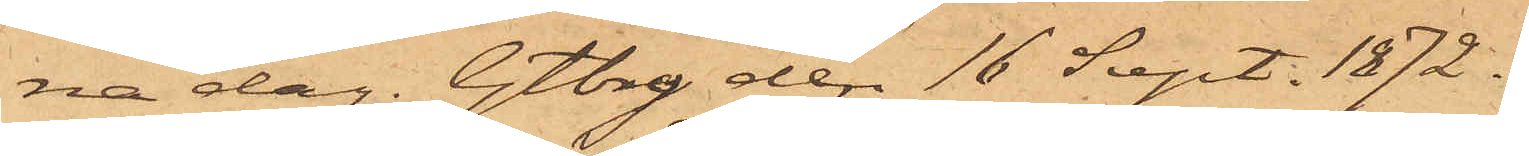na dag. Gtbg den 16 Sept. 1872.
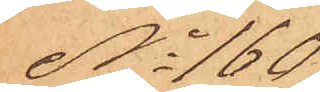No 160
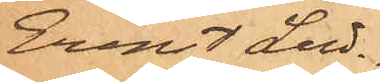Ernst Lud¬
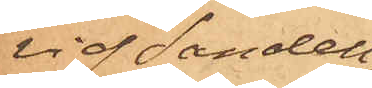vig Sandell,
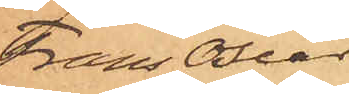Frans Oscar
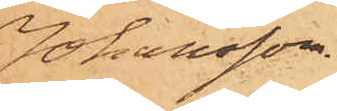Johansson.
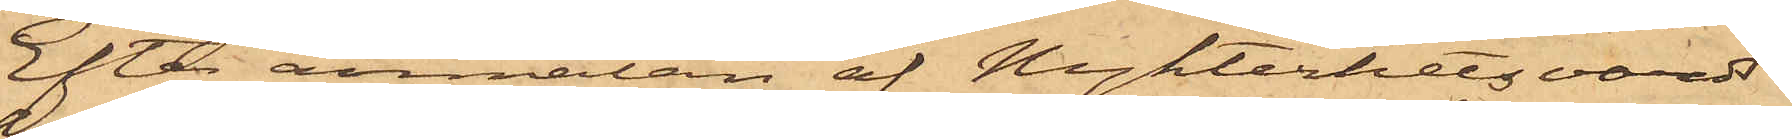Efter anmälan af Nykterhetsvärds¬
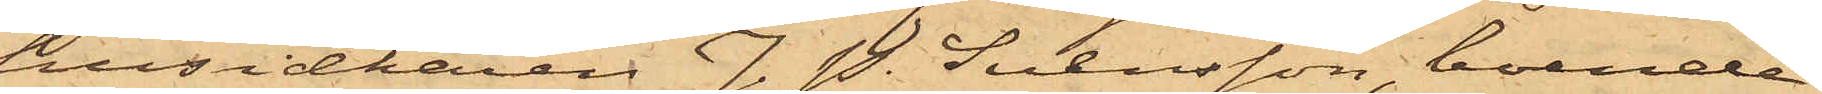husidkaren J. P. Svensson, boende
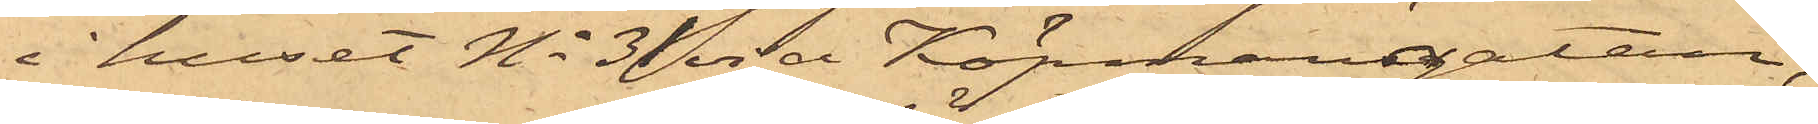i huset No 31 vid Köpmansgatan,
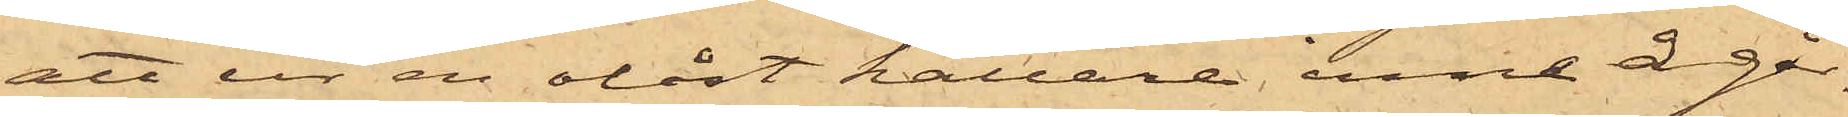att ur en olåst källare inne å går¬
